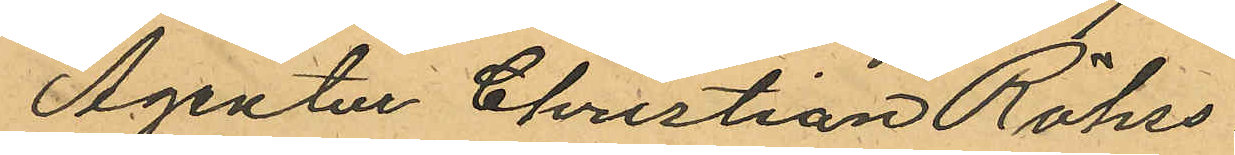Agentur Christian Röhss.
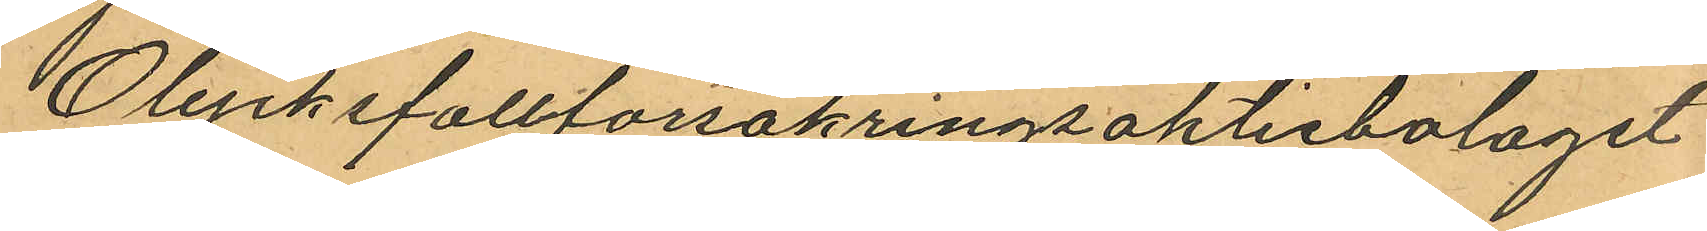Olycksfallforsakringsaktiebolaget
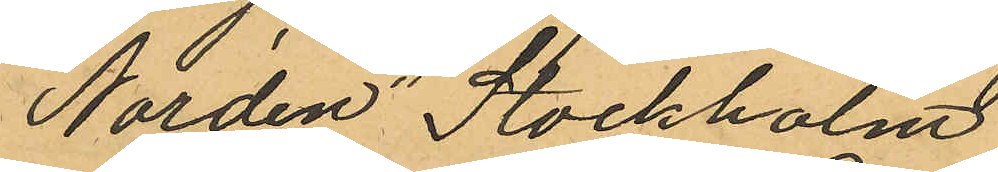"Norden" Stockholm
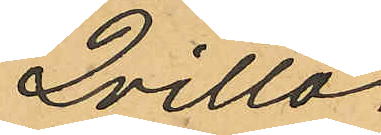Qvitto.
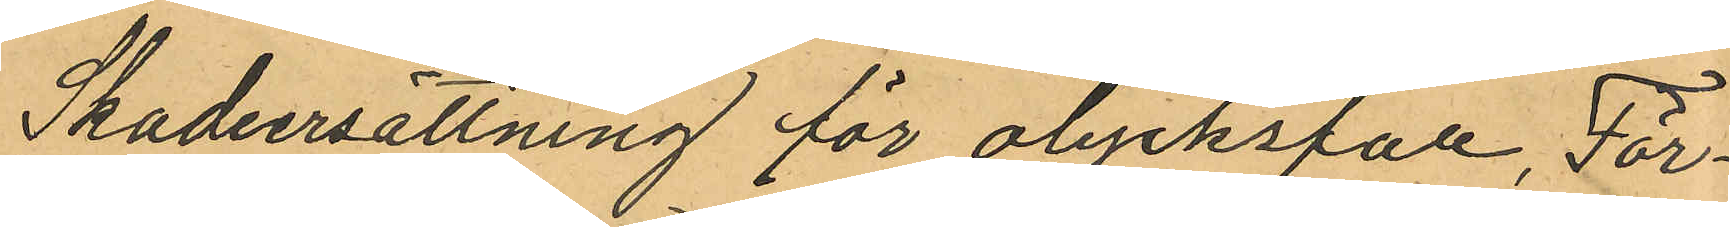Skadeersättning för olycksfall, För¬
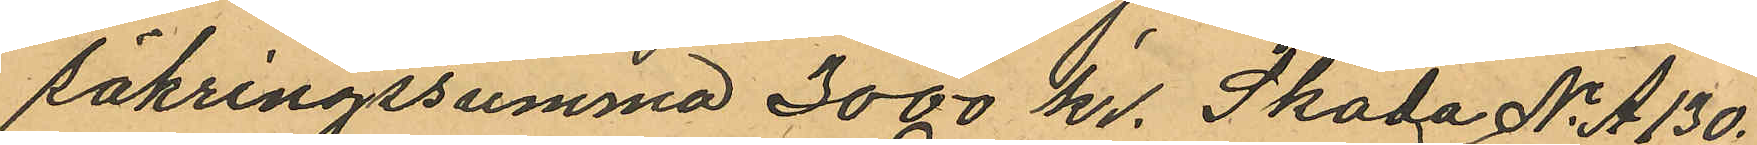säkringssumma 3000 kr. Skada No A 130.
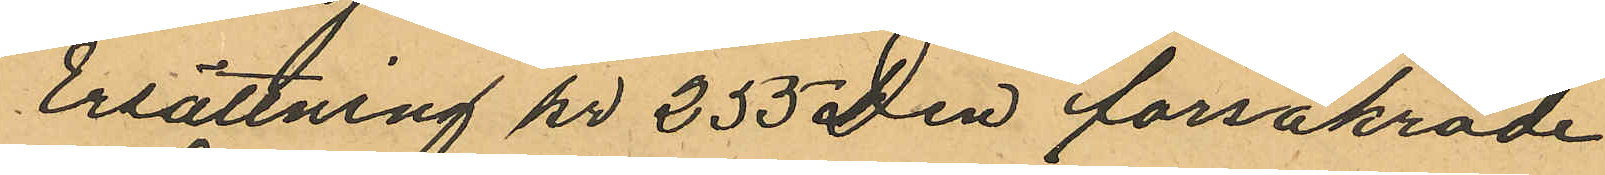Ersättning kr 255 Den försäkrade
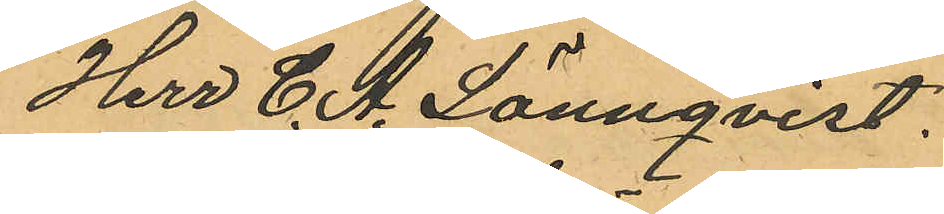Herr C. A. Lönnqvist.
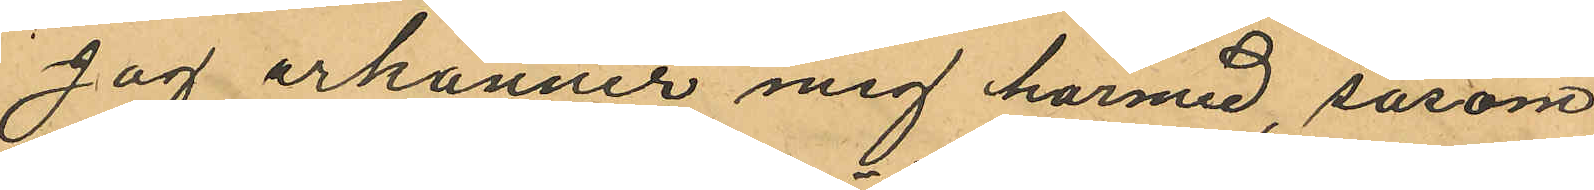Jag erkänner mig härmed, såsom
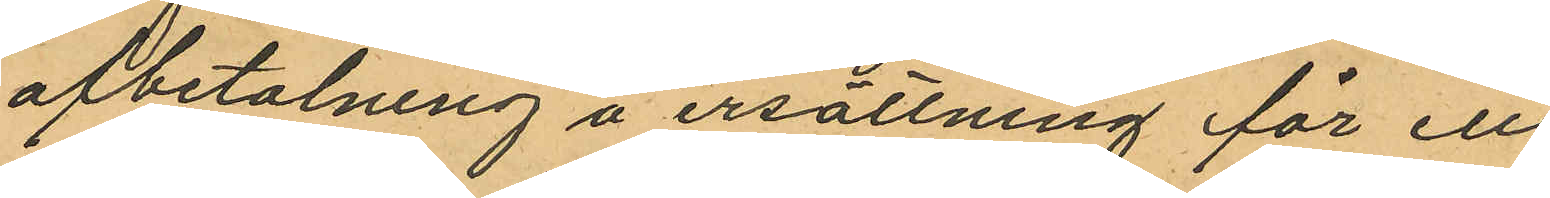afbetalning å ersättning för ett
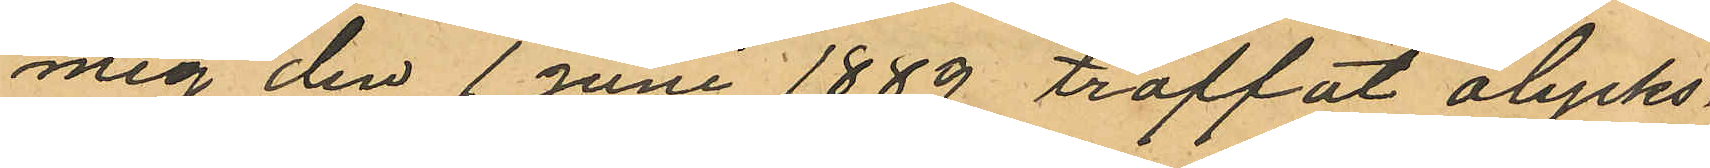mig den 1 juni 1889 träffat olycks¬
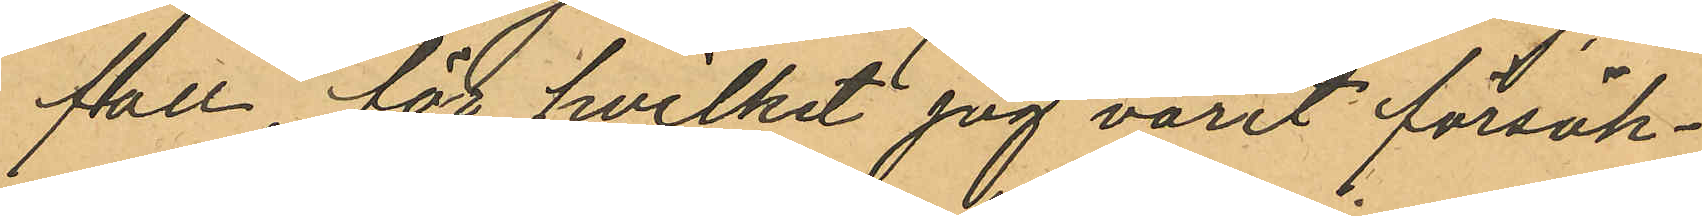fall för hvilket jag varit försäk¬
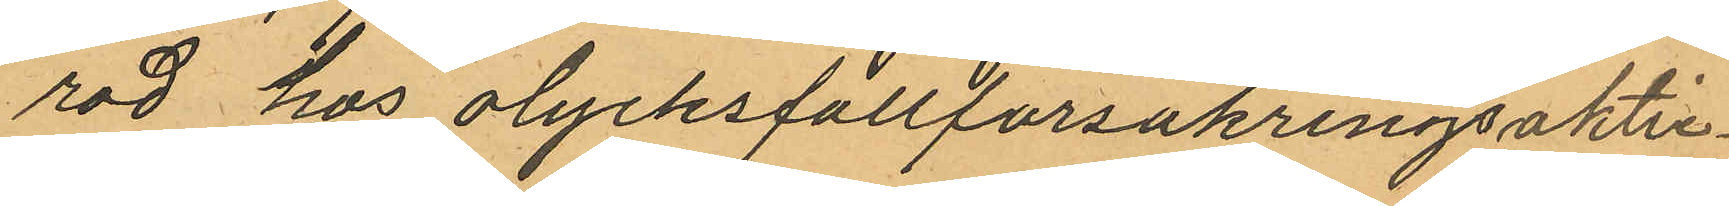rad hos olycksfallförsäkringsaktie¬
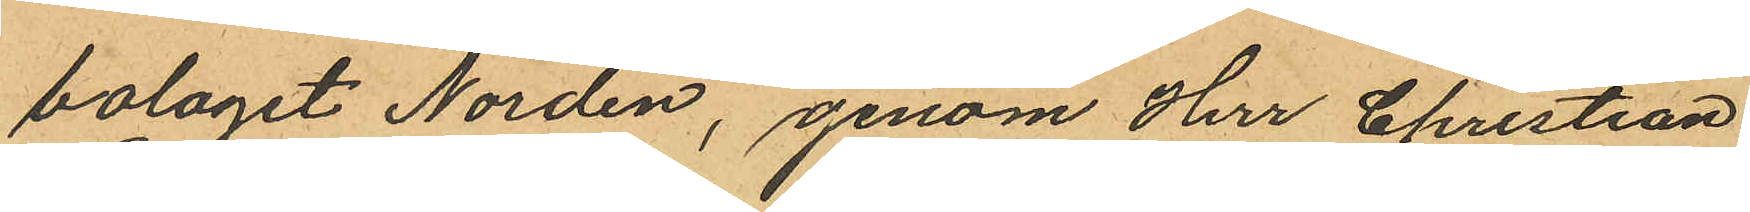bolaget Norden, genom Herr Christian
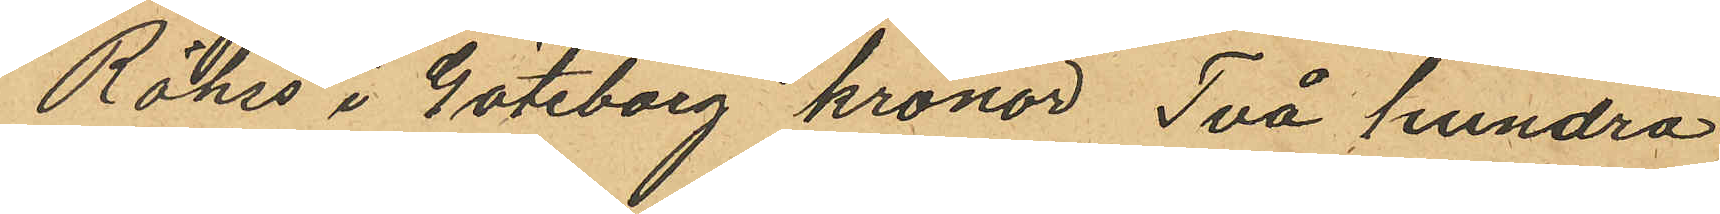Röhss i Göteborg kronor Två hundra
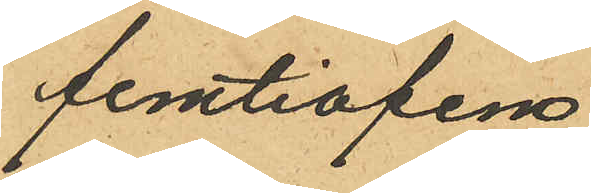femtiofem
